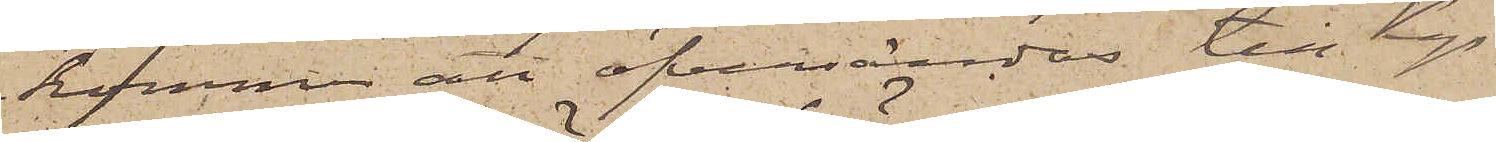kommer att öfversändas till Kgs
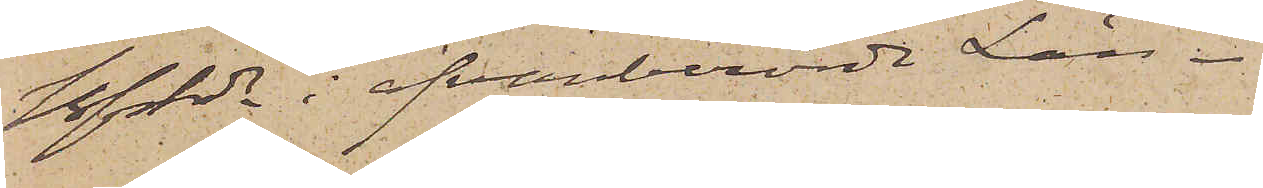Bfhde i ofvanberörde Län.
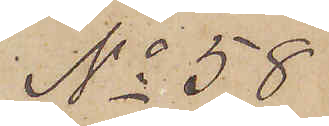No 58
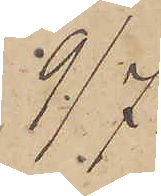9/7.
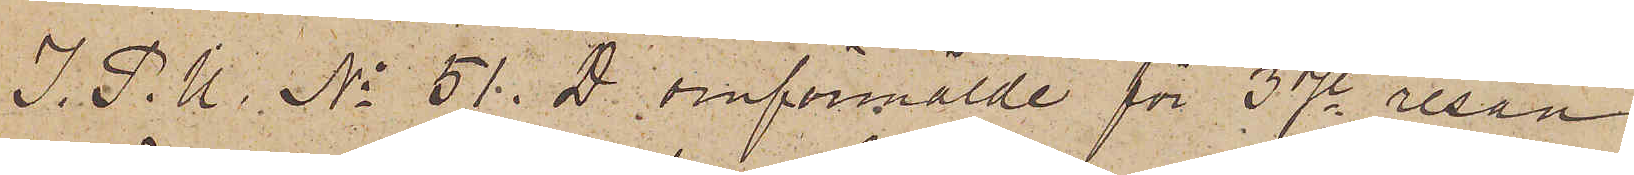I. P. U. No 51. D omförmälde för 3dje resan
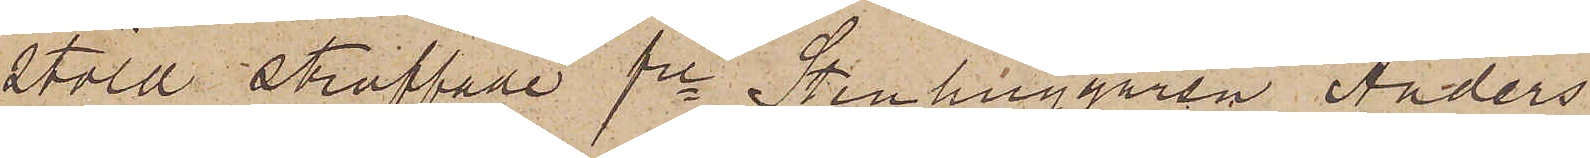stöld straffade fre Stenhuggaren Anders
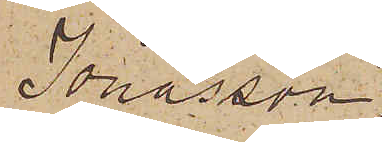Jonasson
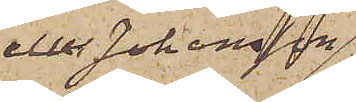eller Johansson
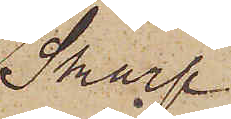Skarp
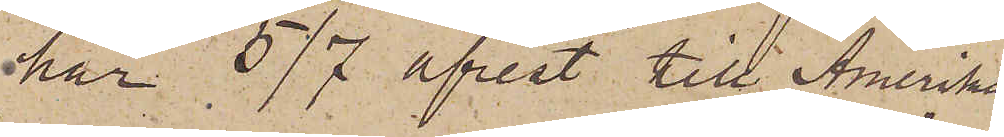har 5/7 afrest till Amerika.
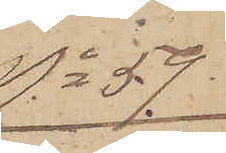No 59.
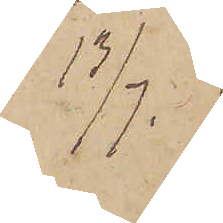13/7.
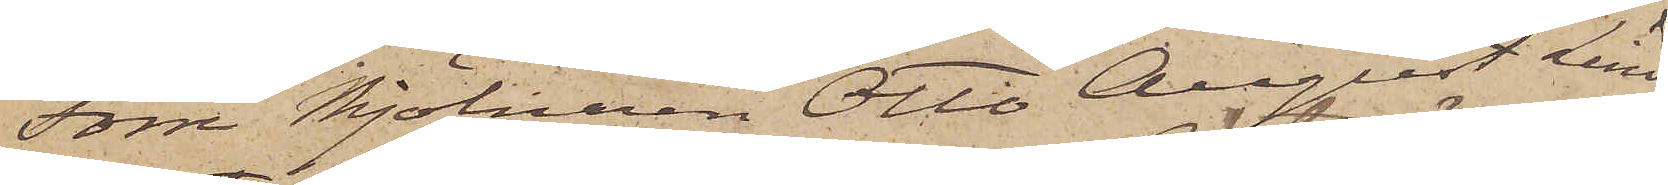Förre Mjölnaren Otto August Lind¬
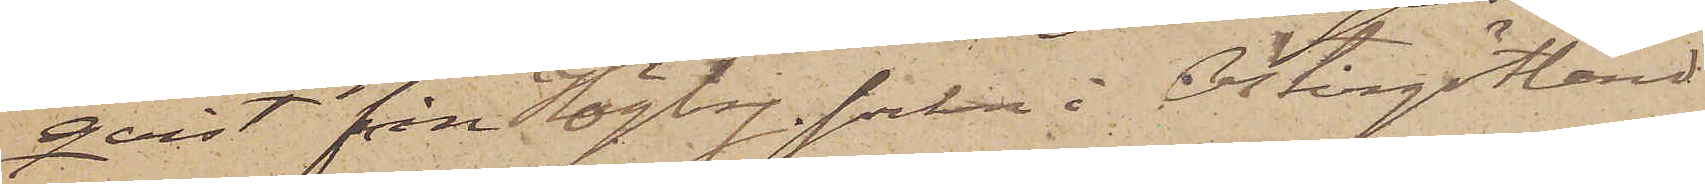qvist från Högby socken i Östergötland
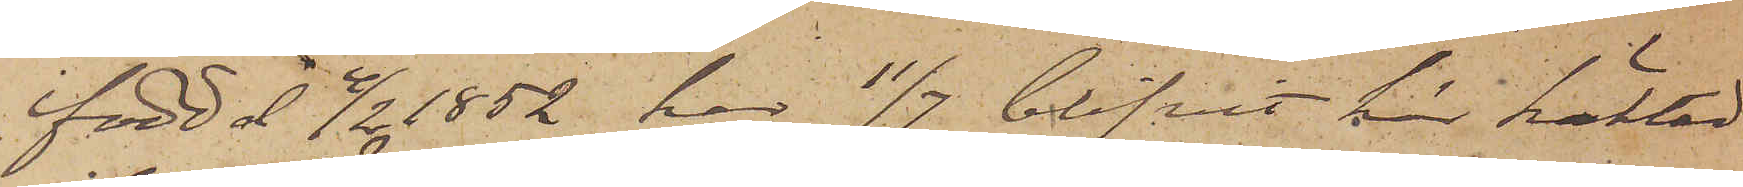född d 4/2 1852 har 11/7 blifvit för häktad
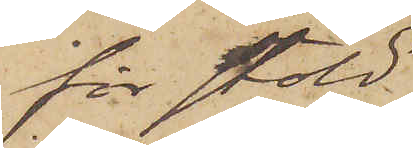för stöld.
